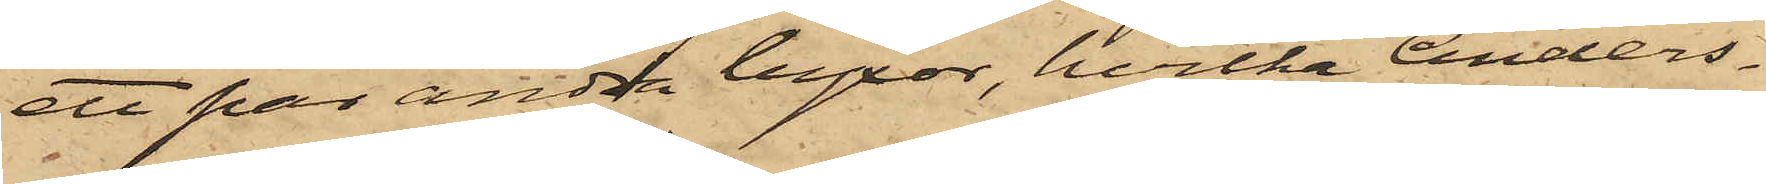ett par andra byxor, hvilka Anders¬
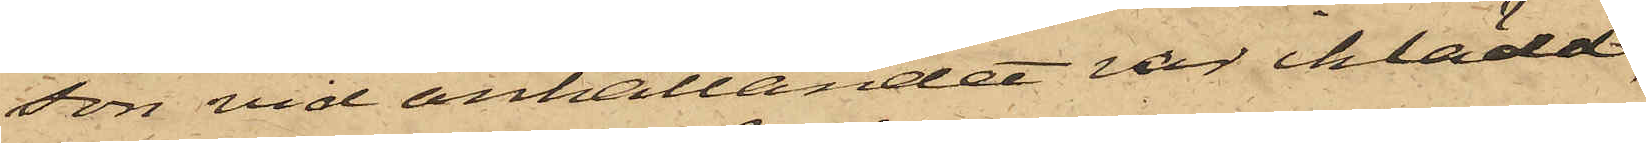son vid anhållandet var iklädd,
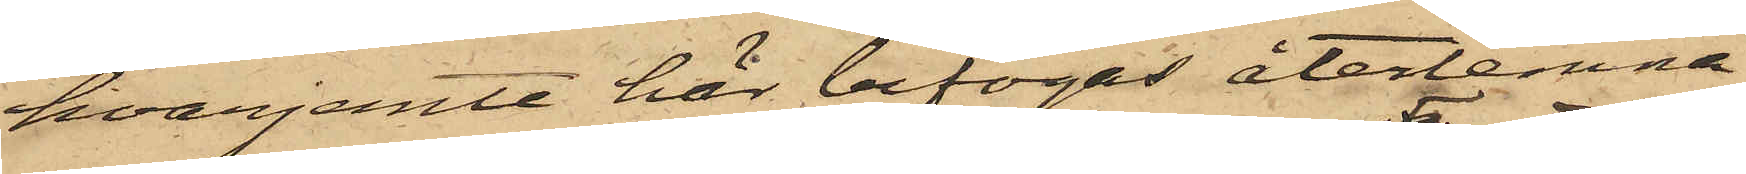hvarjemte här bifogas återlemna¬
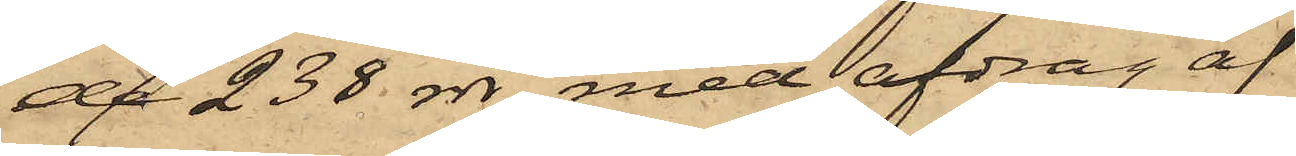de 238 rdr med afdrag af
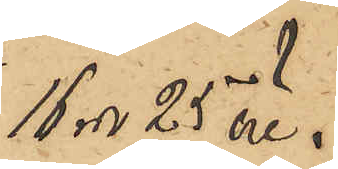16 rdr 25 öre,
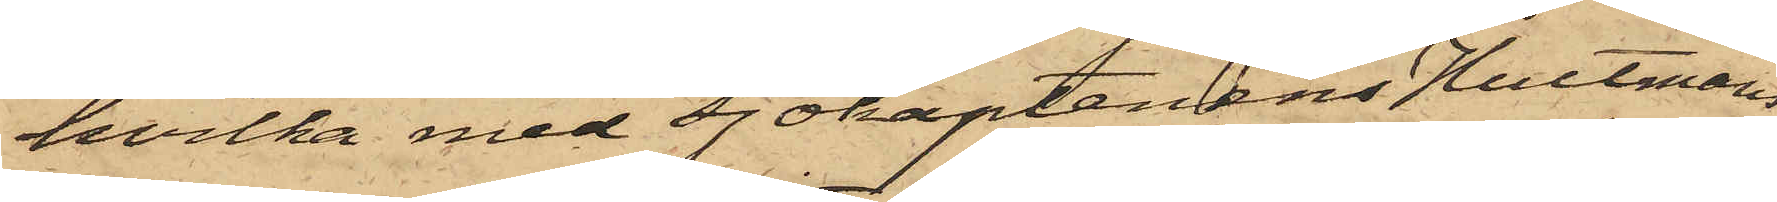hvilka med sjökaptenens Hultmans
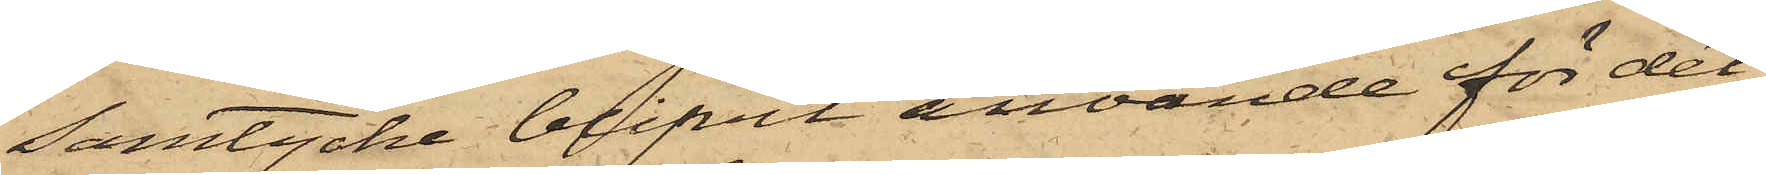samtycke blifvit använde för det
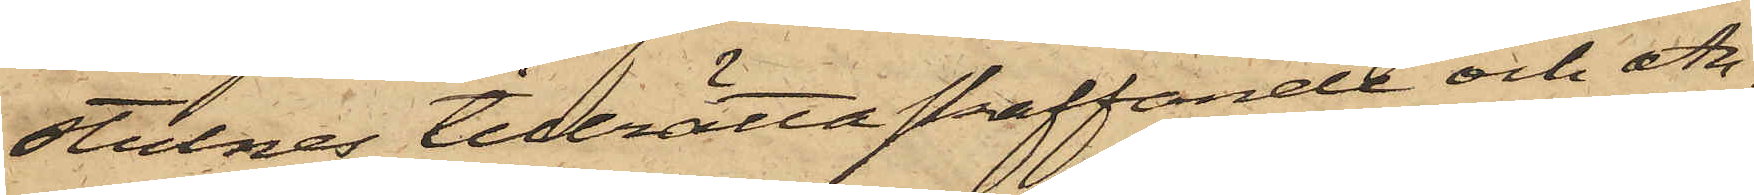stulnes tillrättaskaffande och An¬
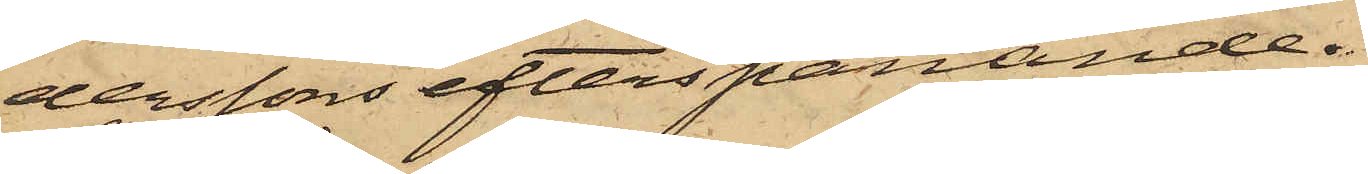derssons efterspanande.
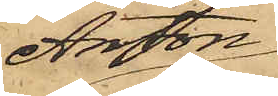Anton
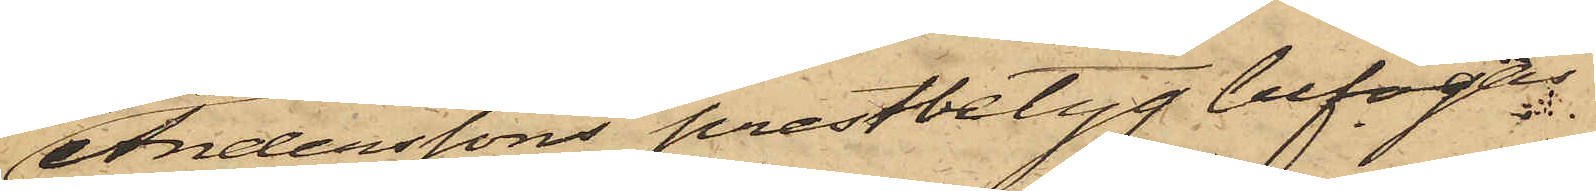Anderssons prestbetyg bifogas.
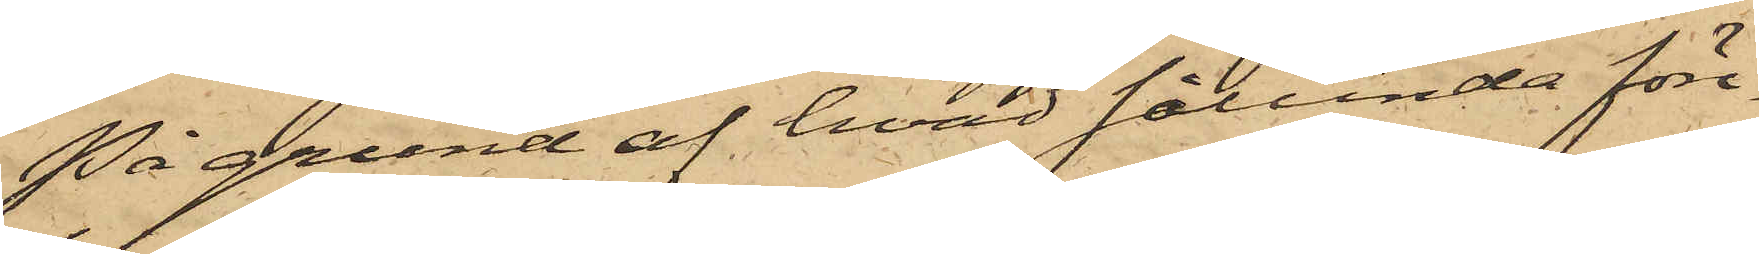På grund af hvad sålunda före¬
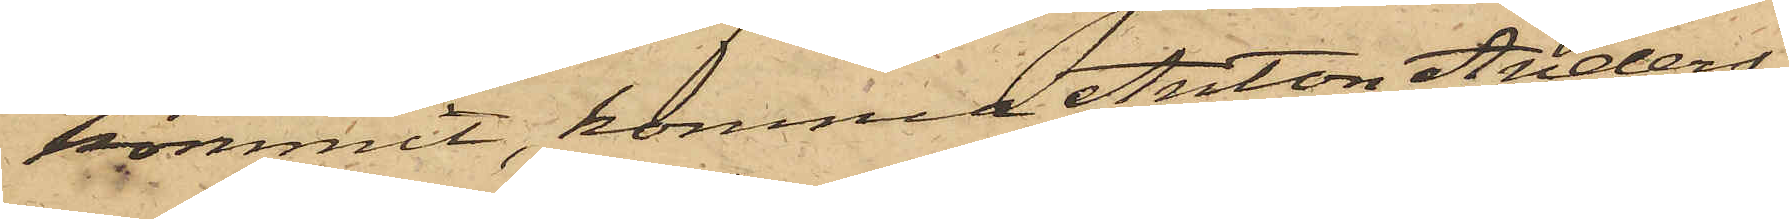kommit, komma Anton Anders¬
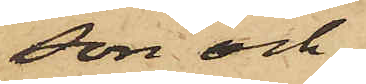son och
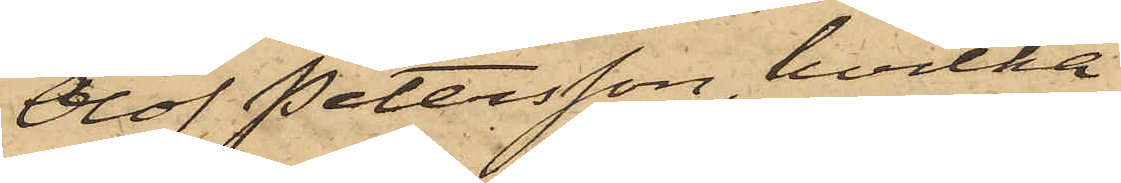Olof Petersson, hvilka
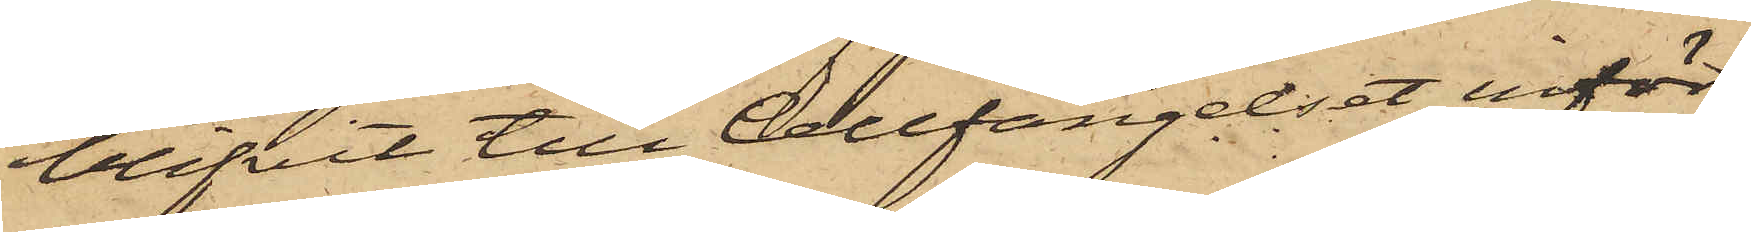blifvit till Cellfängelset inför¬
